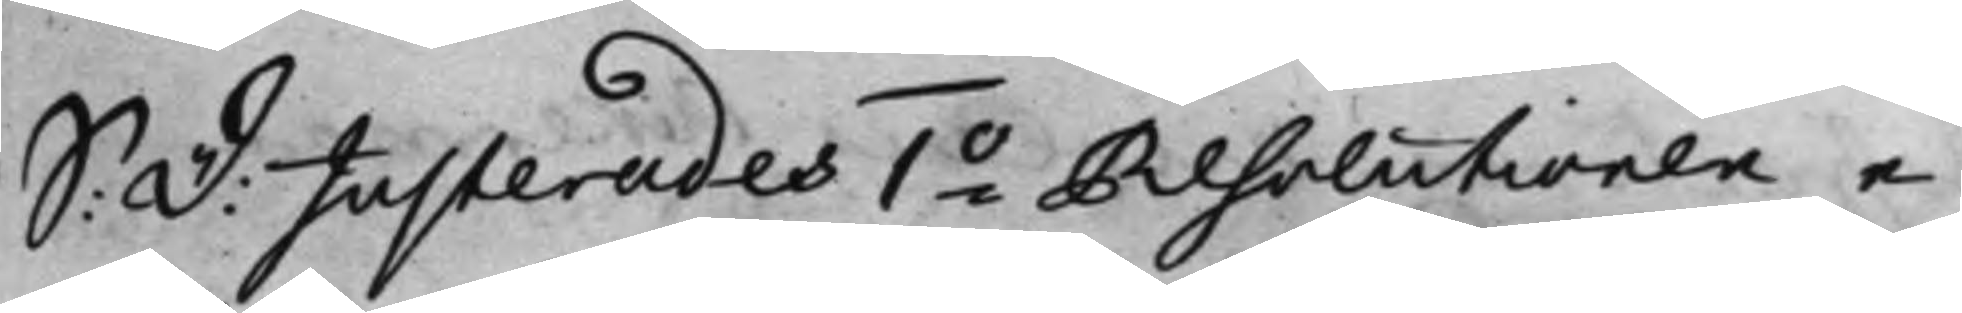S: D: Justerades 1:o Resolutionen e¬ 
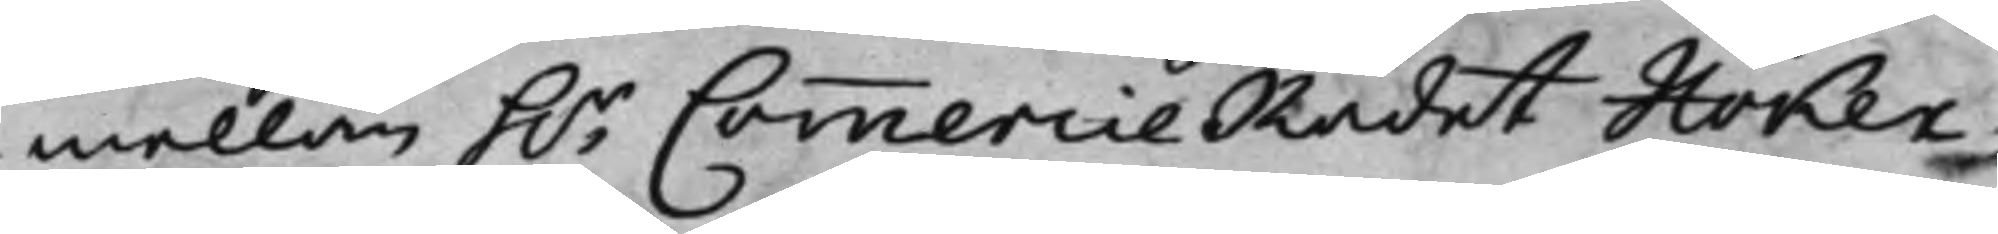mellan h.r CommercieRådet Höker¬ 
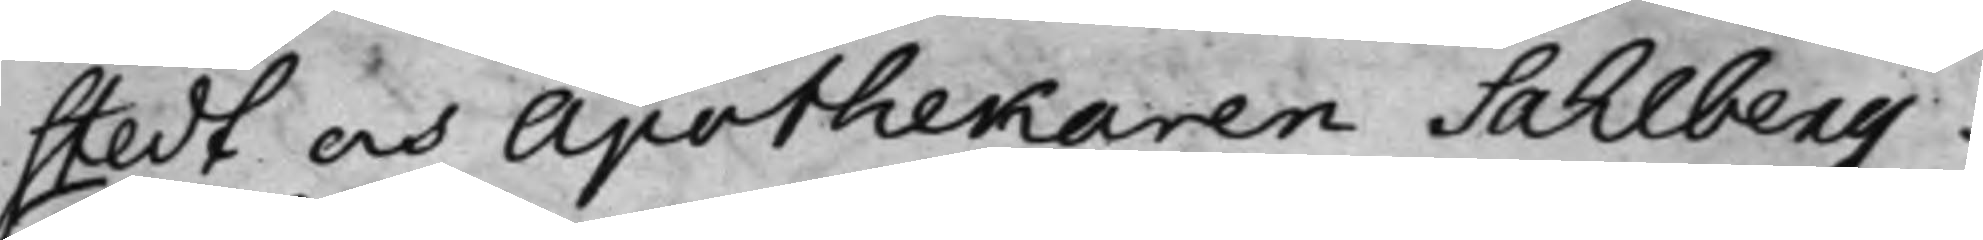stedt och Apothekaren Sahlberg.
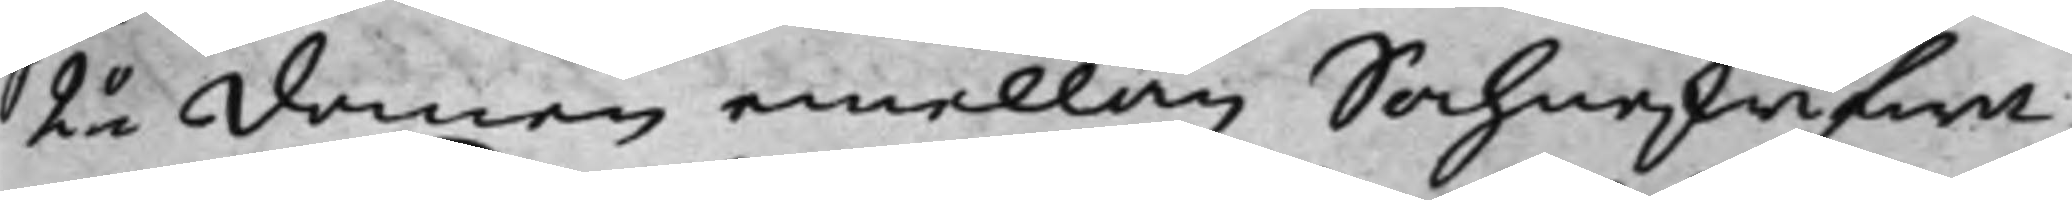22 domen emellan Sochneskrifwa
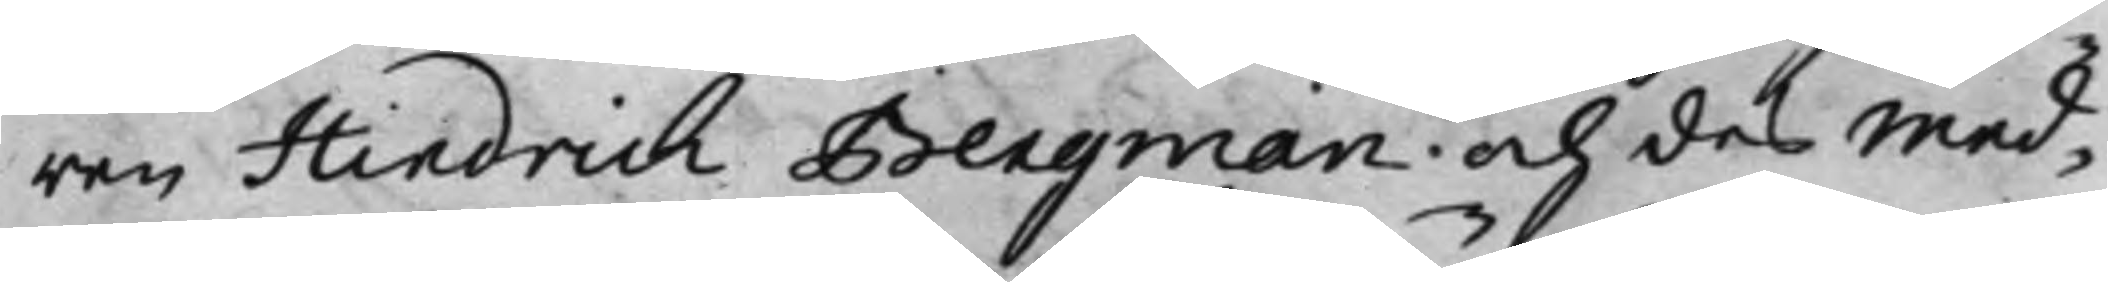ren Hindrich Bengman och des med
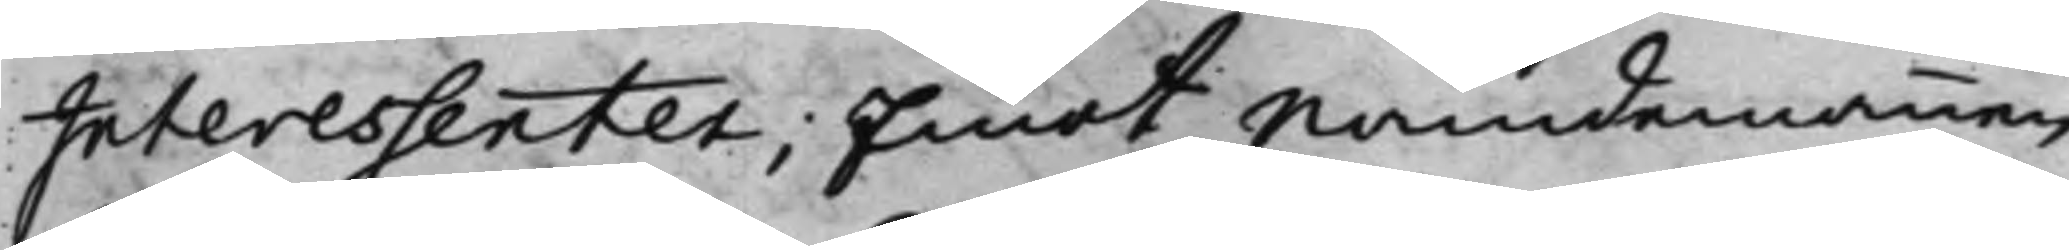Interessenter; Emot Nandemannen
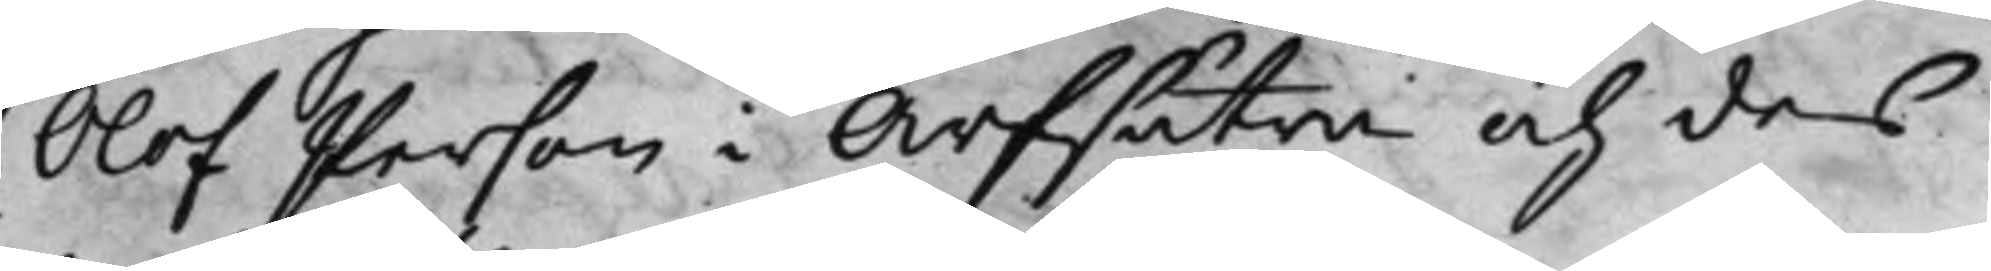Olof Person i Arfsätra och des
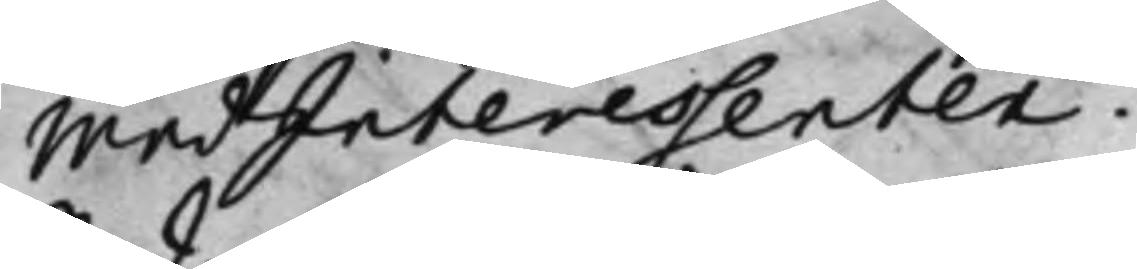medInteressenter.
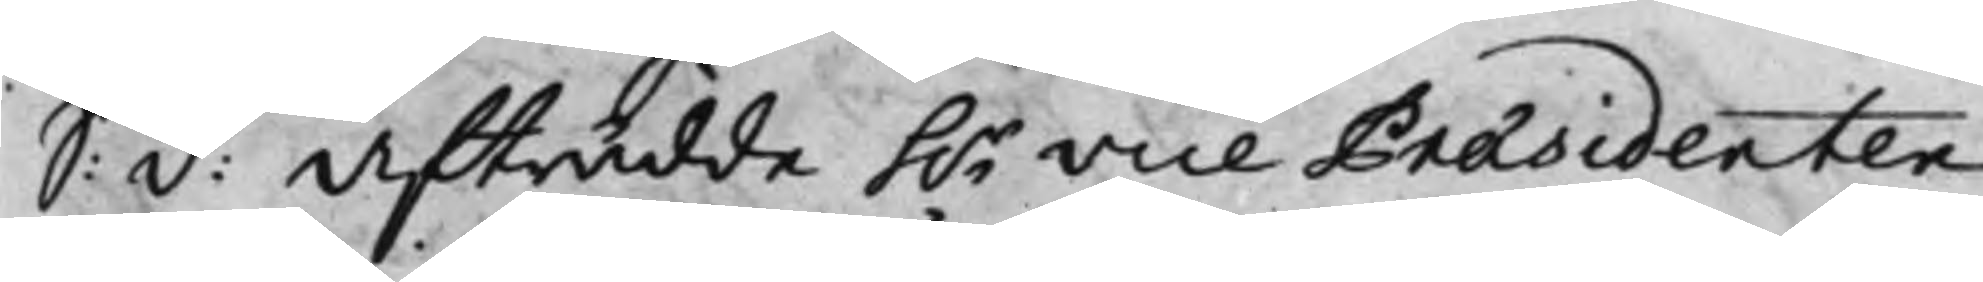S: d: Afträdde h.r Vice Præsidenten  
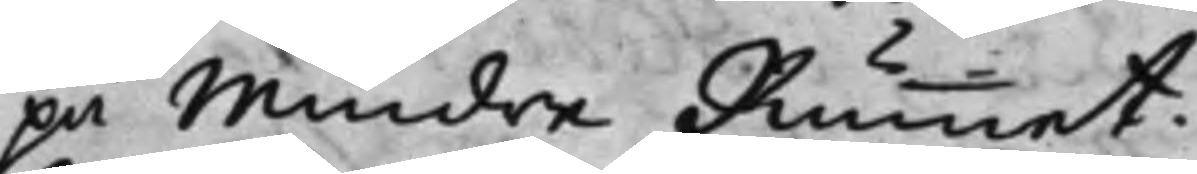på Mindre Rummet.
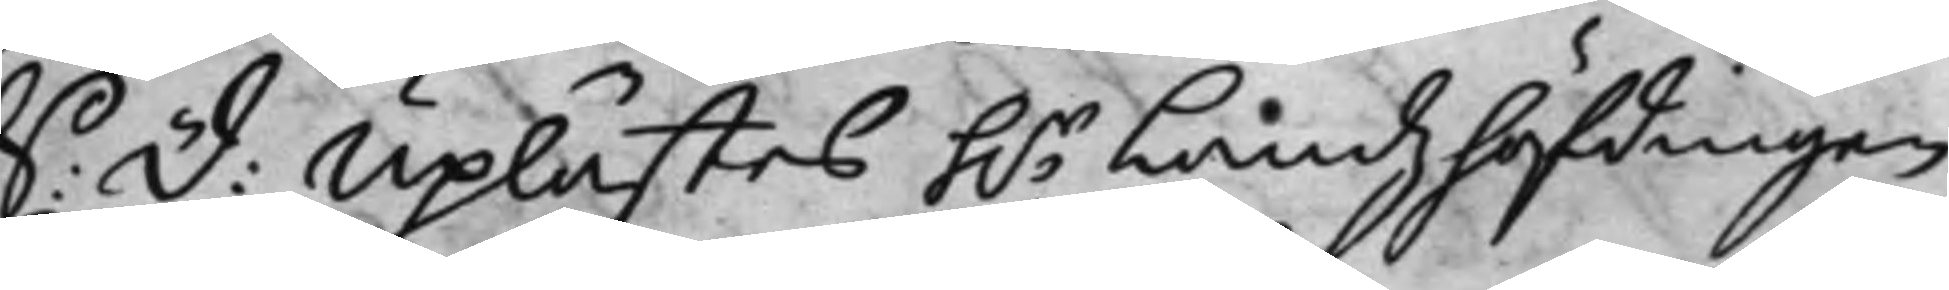S: D: Uplästes h.r Landzhöfdingen 
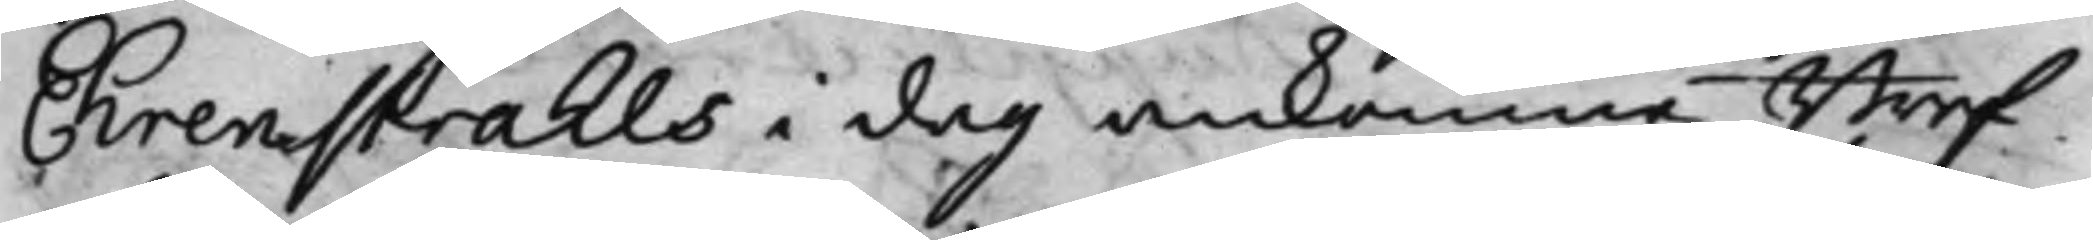Ehrenstråhls i dag ankomne Bref¬
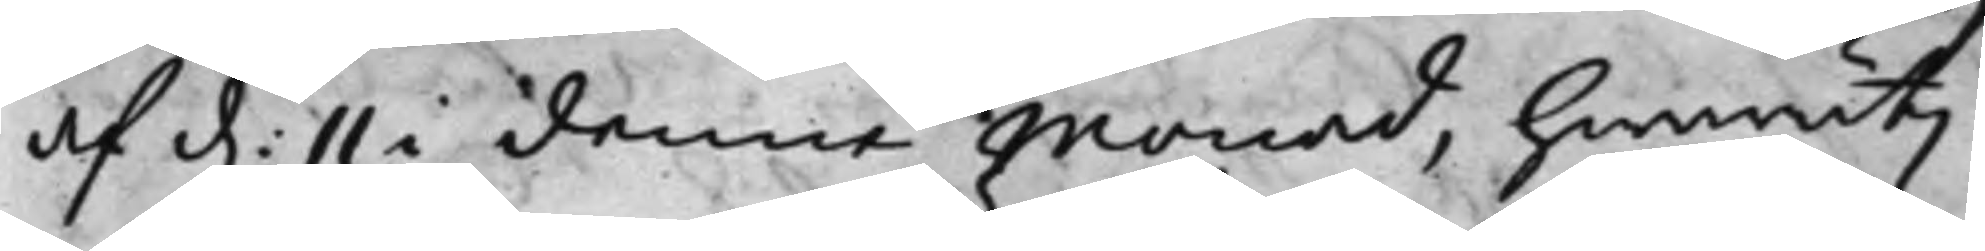af d. 11 i denna månad, hwaruti 
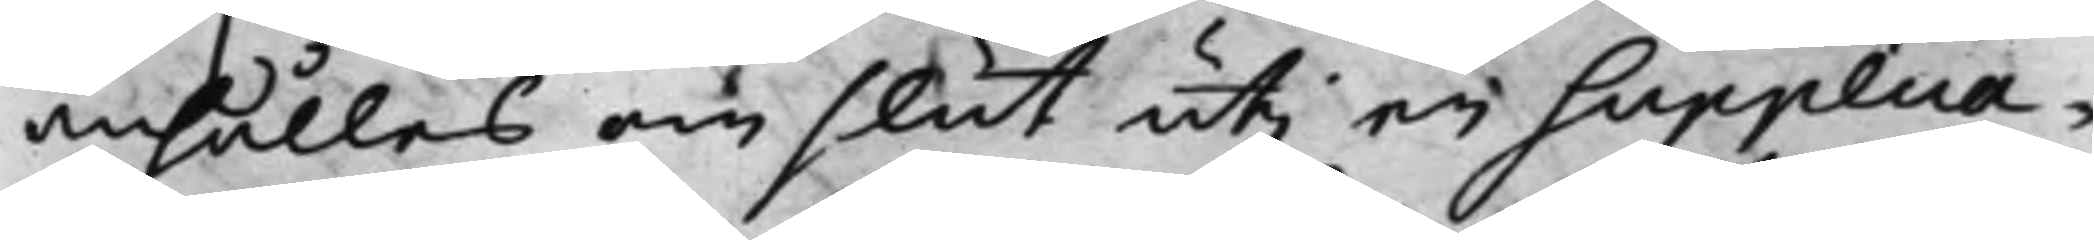anhålles om slut uti ei Supplica¬
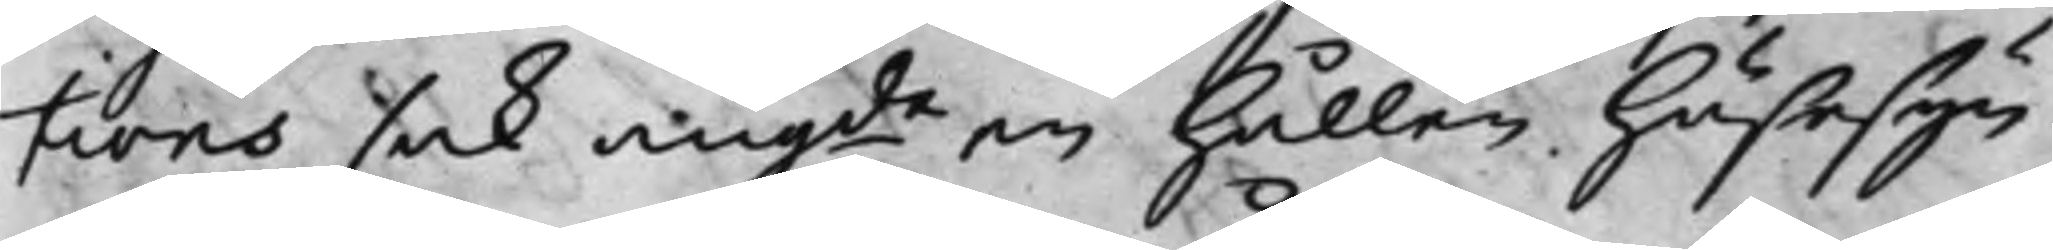tions sak angde en hållen Hussesyn¬ 
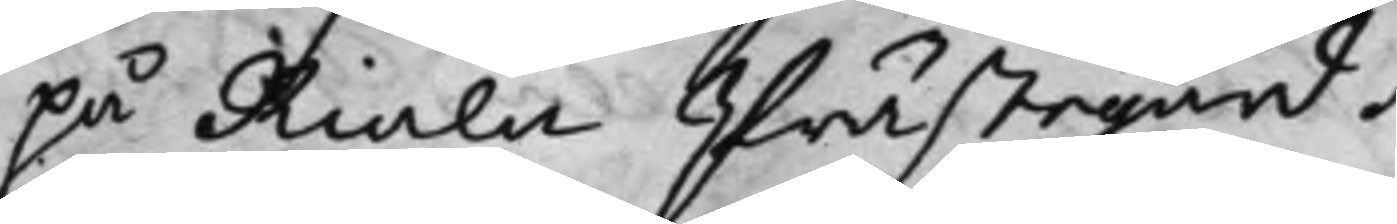på Riala Prästegård.
